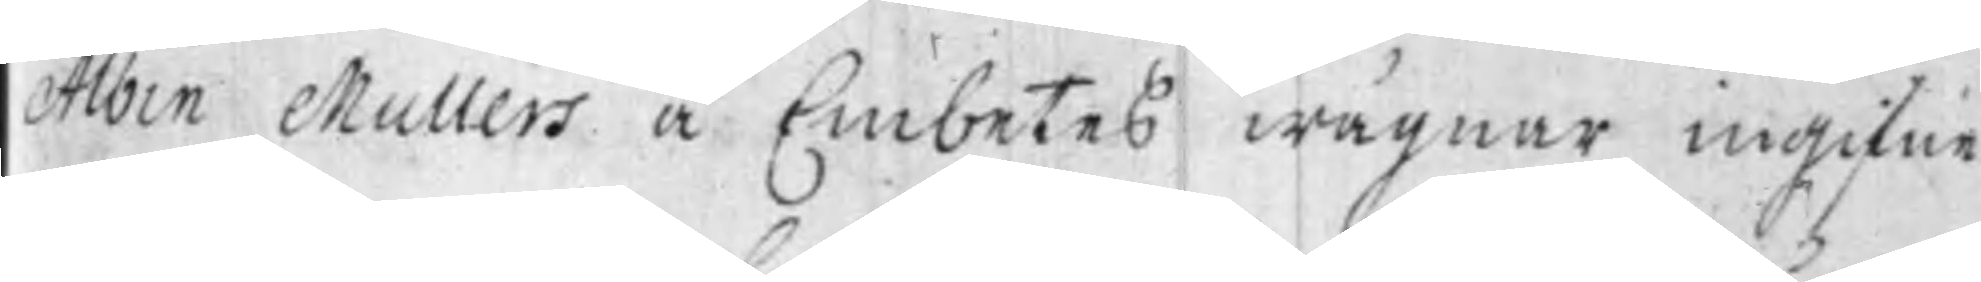Albin Mullers å Embetes wägnar ingifne
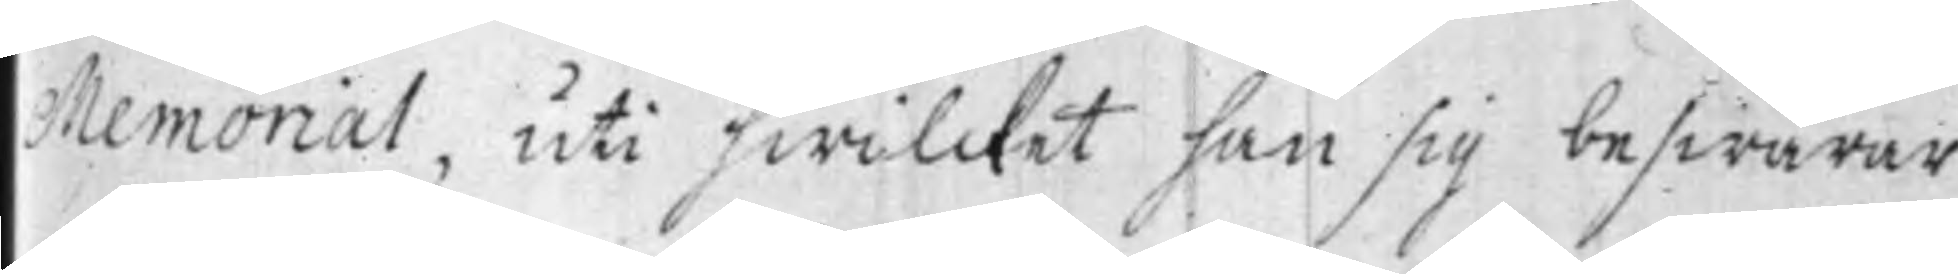Memorial, uti hwilcket han sig beswärar
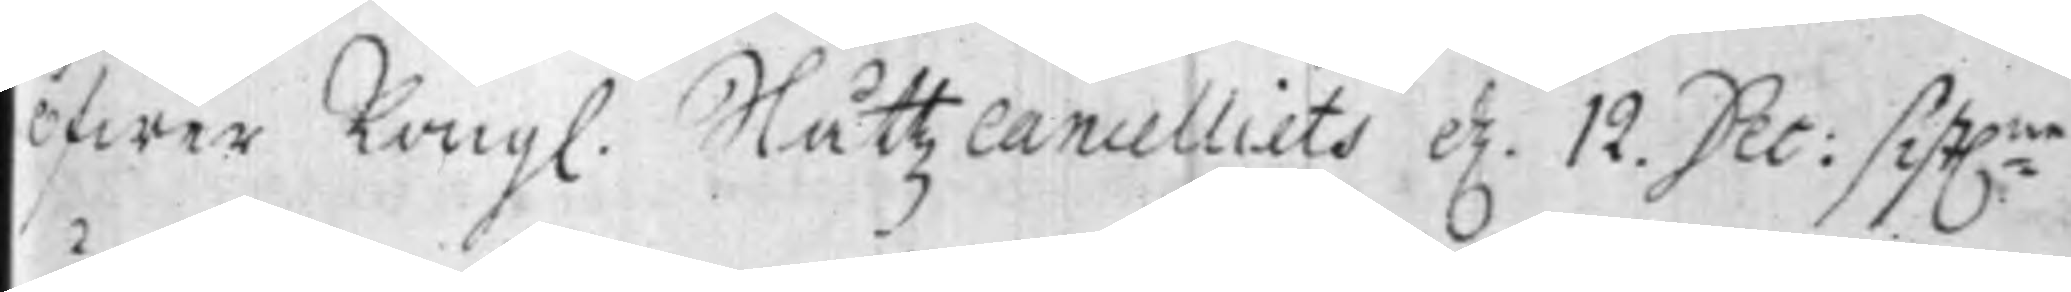öfwer Kongl. Slåttz Cancelliets d. 12. Dec: sist:ne
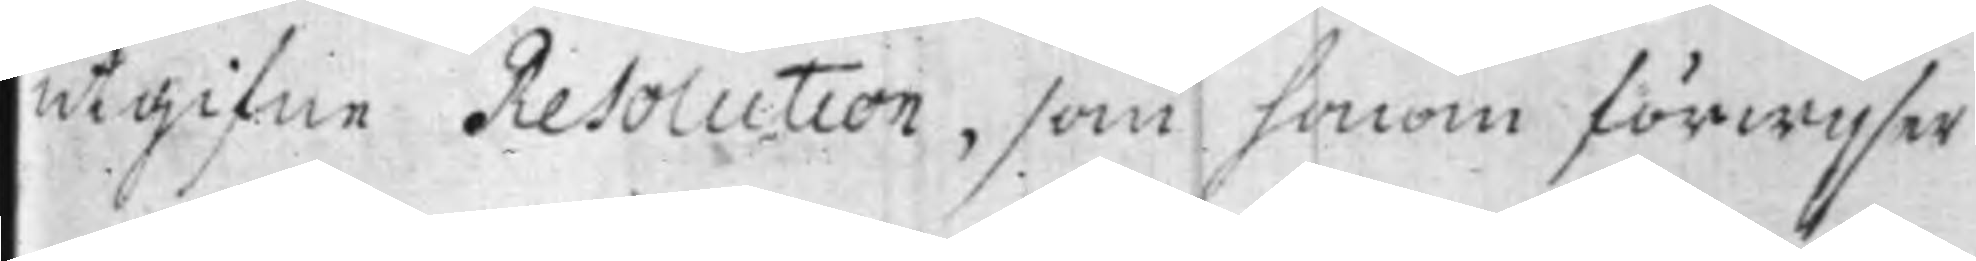utgifne Resolution, som honom förwijser
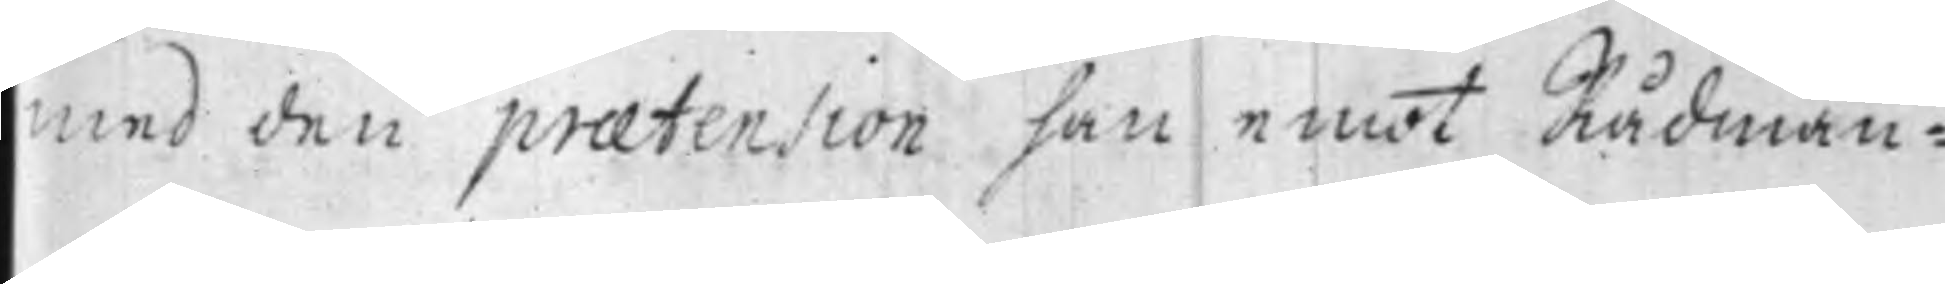med den praetension han emot Rådman¬
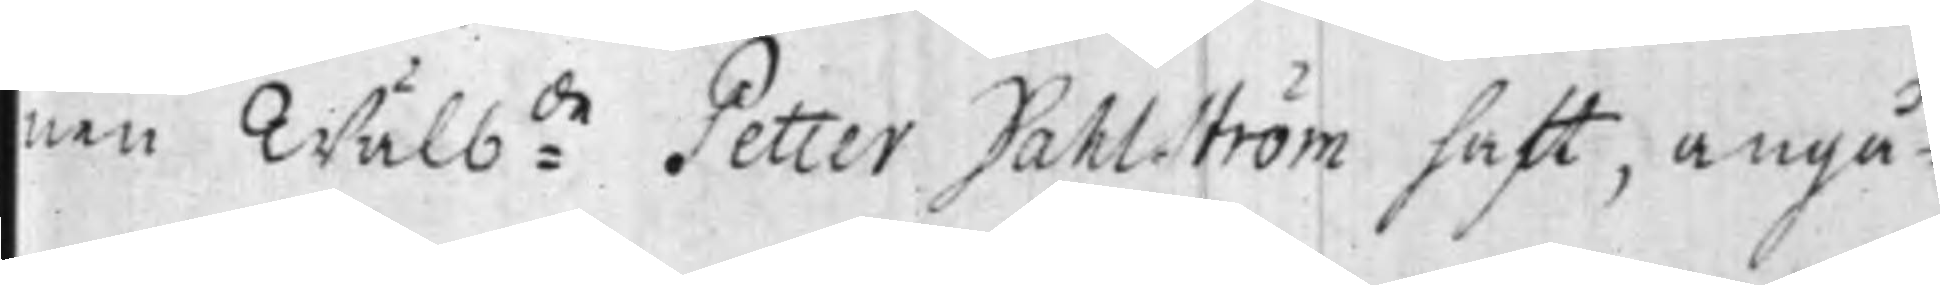nen Wälb:de Petter Dahlström haft, angå¬
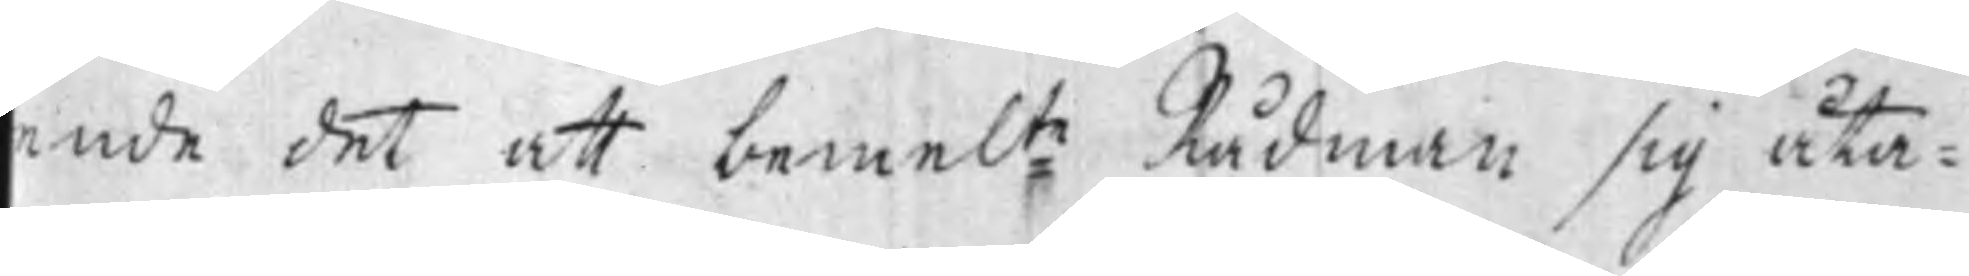ende det att bemel:te Rådman sig åta¬
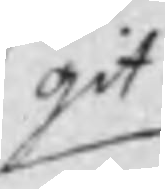git
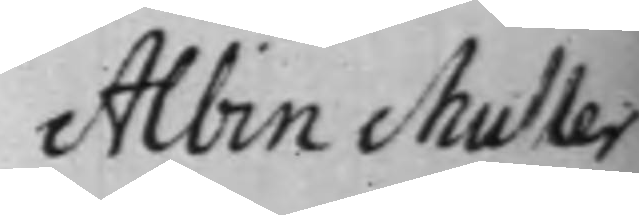Albin Muller
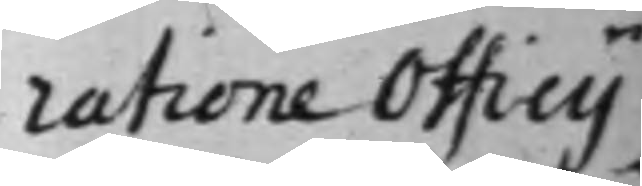ratione Officy
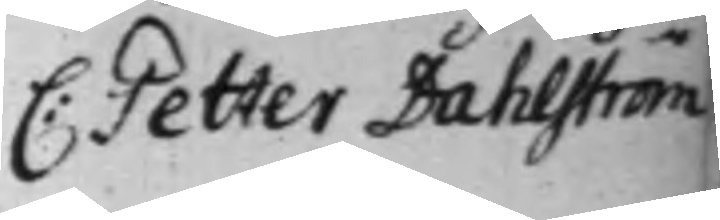C: Petter Dahlström
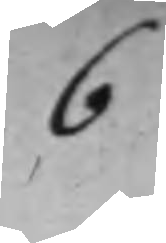6
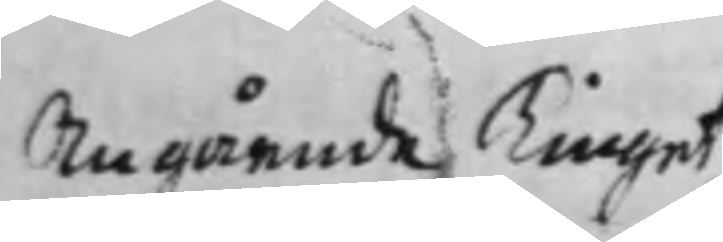Angående Tinget
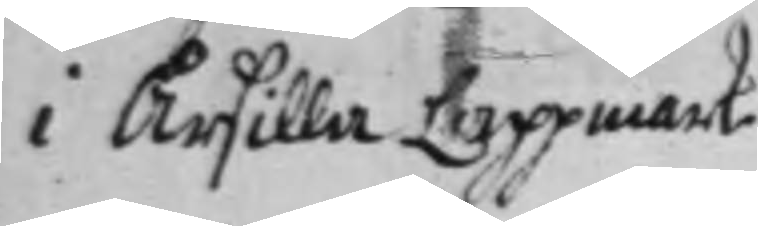i Årsilla Lappmark
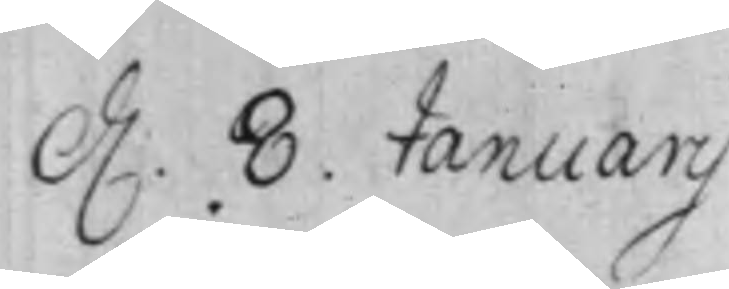d. 8. Januarij.
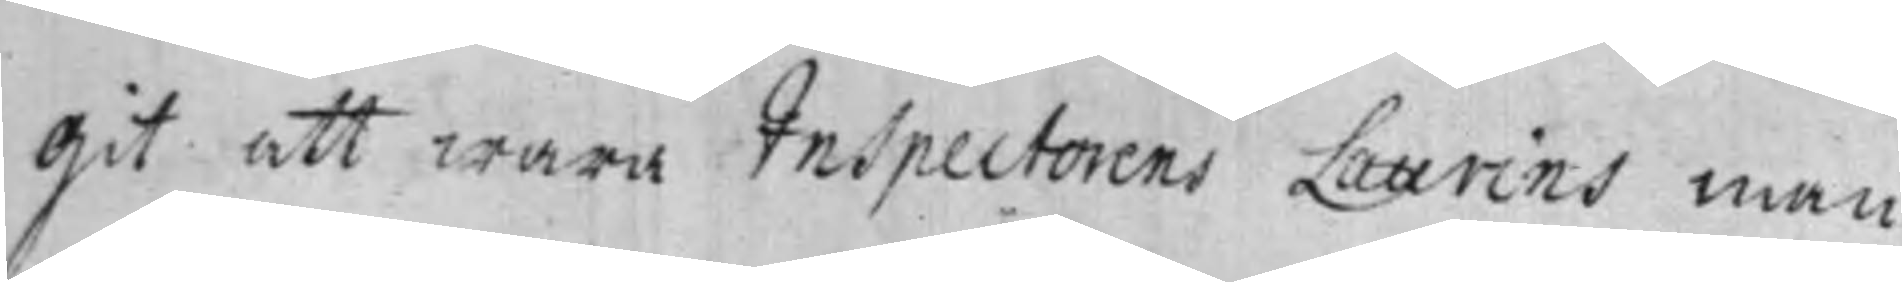git att wara Inspectorens Laurins man
